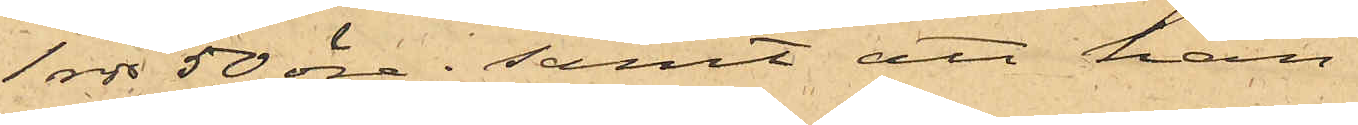1 rdr 50 öre; samt att han
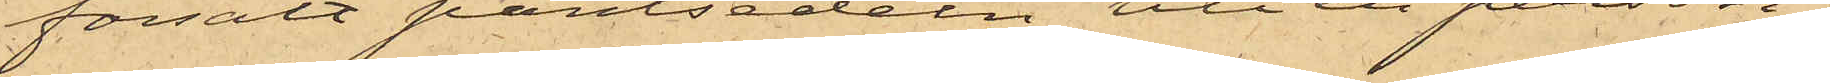försålt pantsedeln till en person,
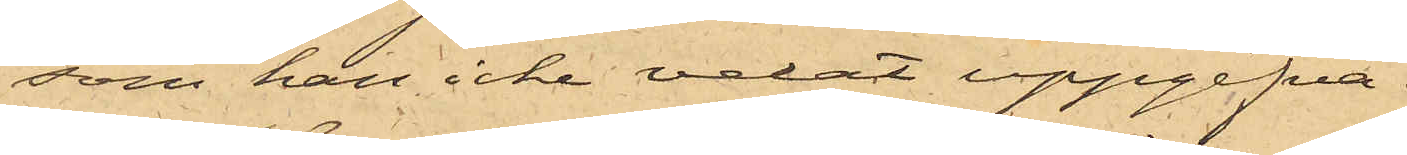som han icke velat uppgifva.
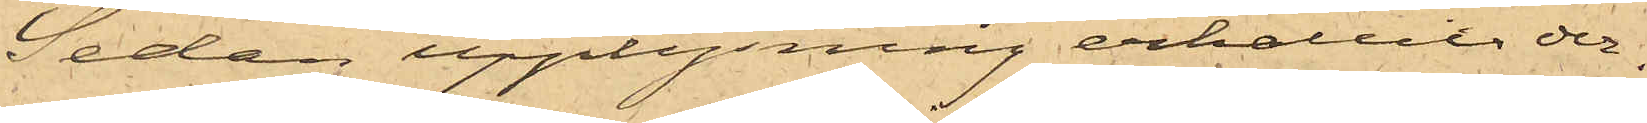Sedan upplysning erhållit der¬
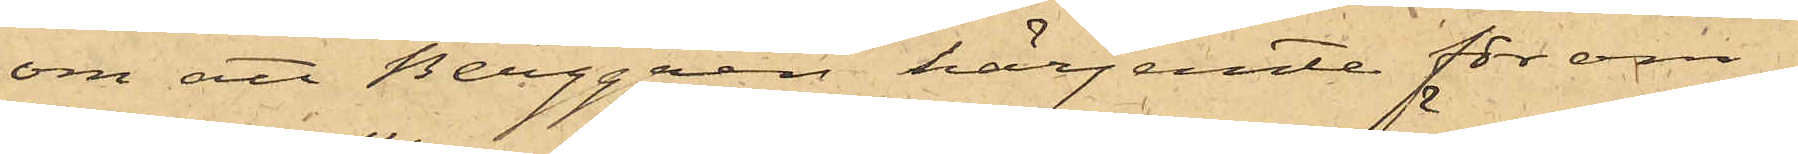om att Berggren härjemte för om¬
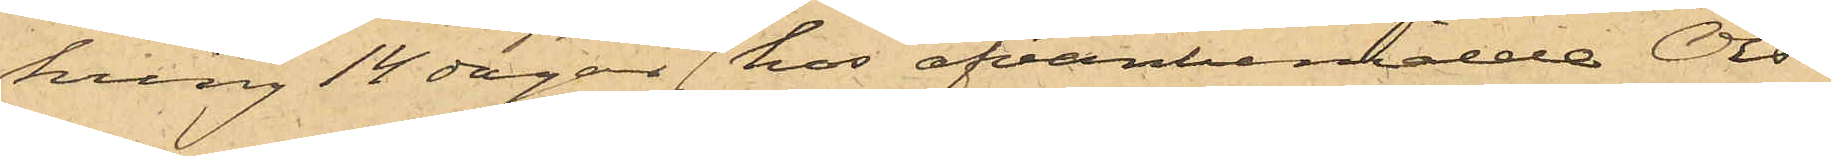kring 14 dagar sedan hos ofvanbemälde Ols¬
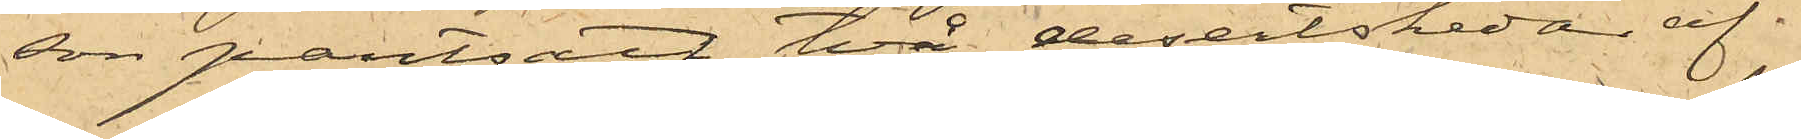son pantsatt två desertskedar af
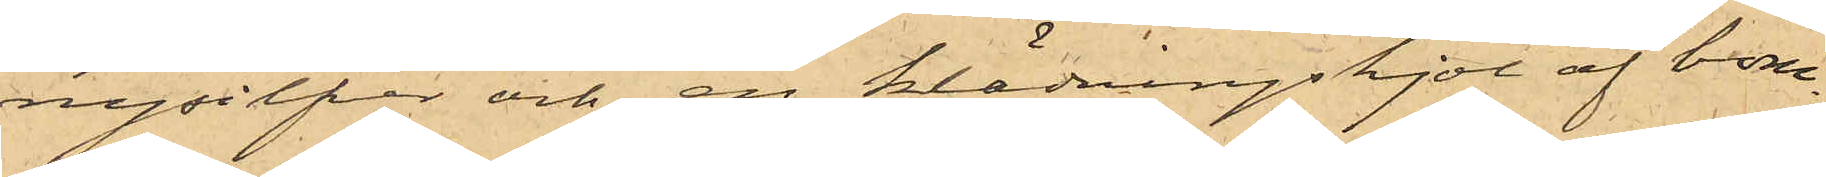nysilfver och en klädningskjol af bom¬
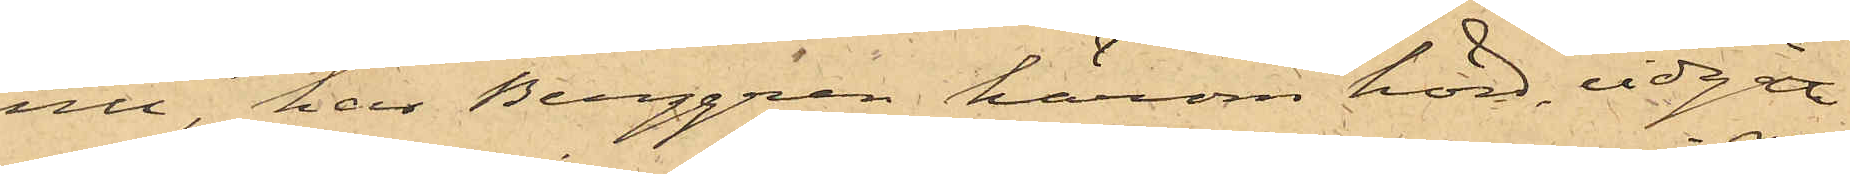ull, har Berggren härom hörd, vidgått
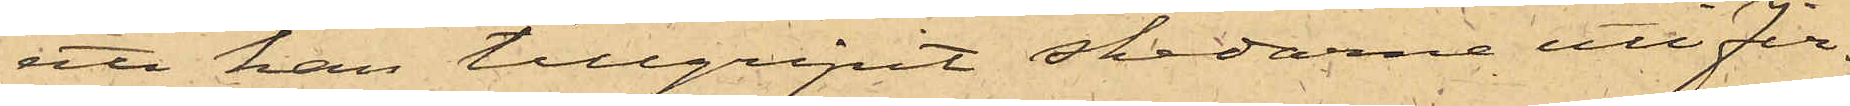att han tillgripit skedarne uti Fir¬
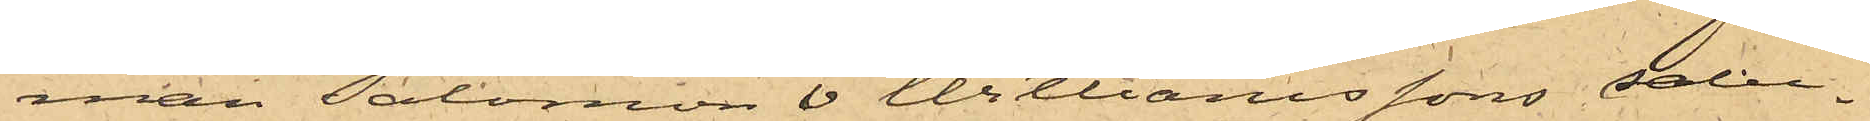man Salomon & Williamssons salu¬
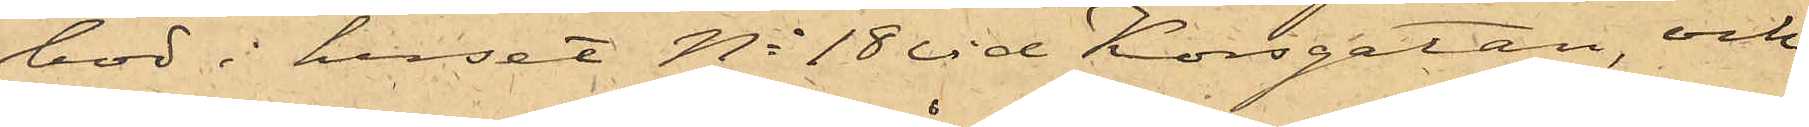bod i huset No 18 vid Korsgatan, och
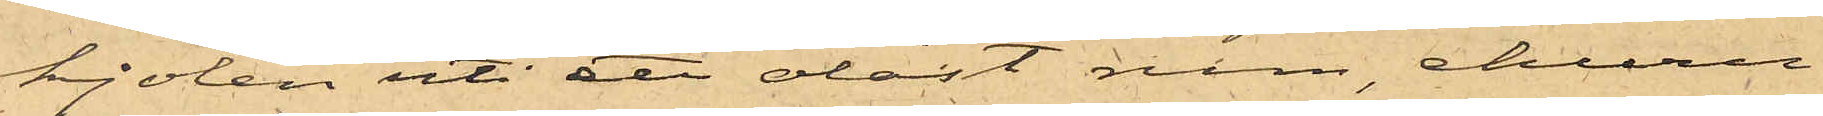kjolen uti ett olåst rum, ehuru
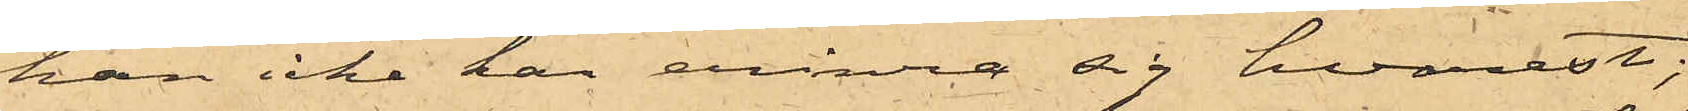han icke han erinra sig hvarest;
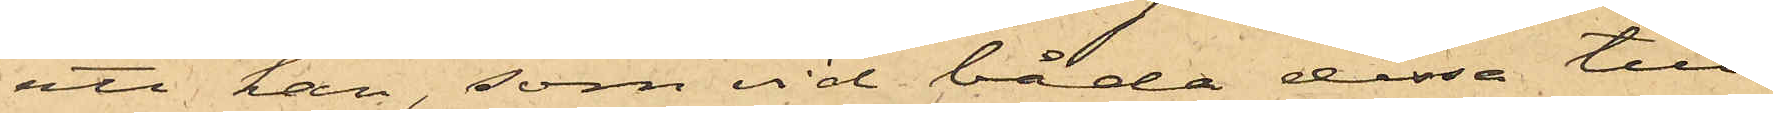att han, som vid båda dessa till¬
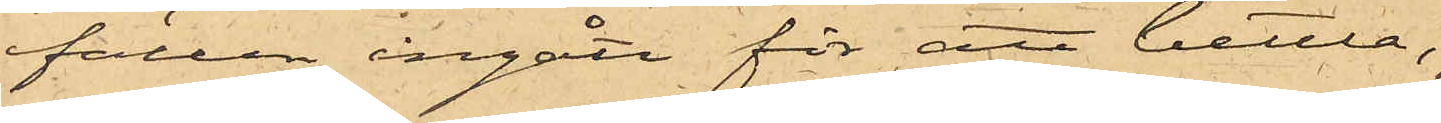fällen ingått för att bettla,
